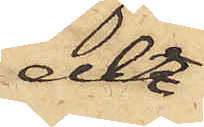der
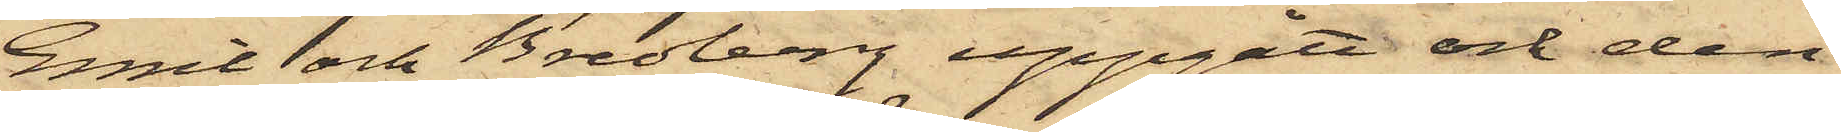Emil och Bredberg uppgått och den
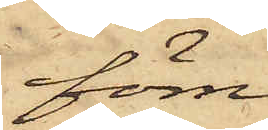förre
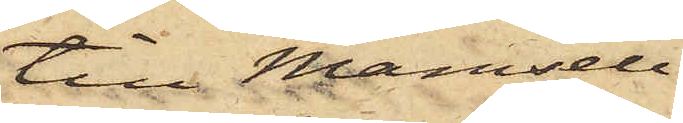till Mamsell
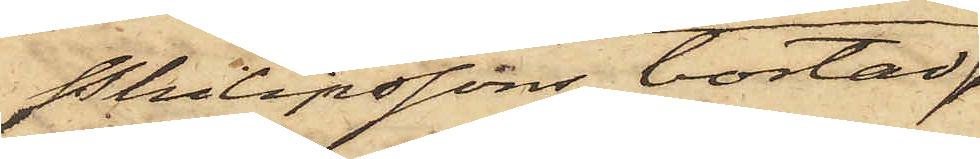Philipssons bostad
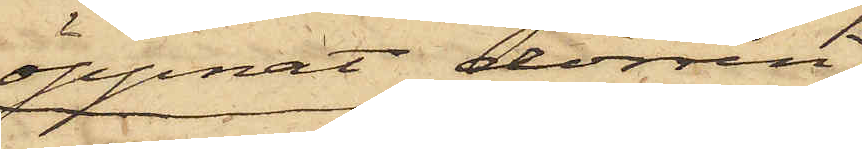öppnat dörren,
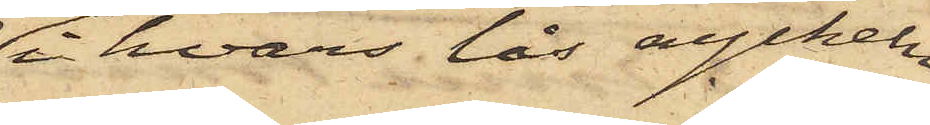i hvars lås nyckeln
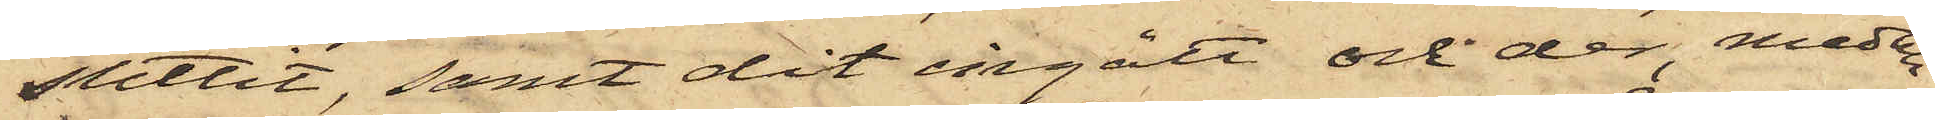suttit, samt dit ingått och der, medan
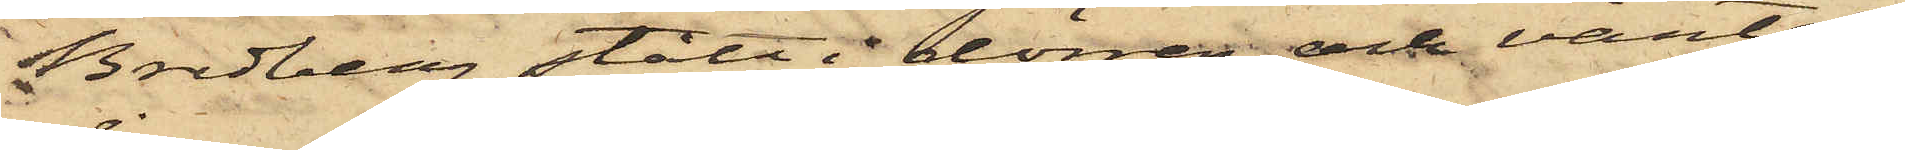Bredberg stått i dörren och väntat,
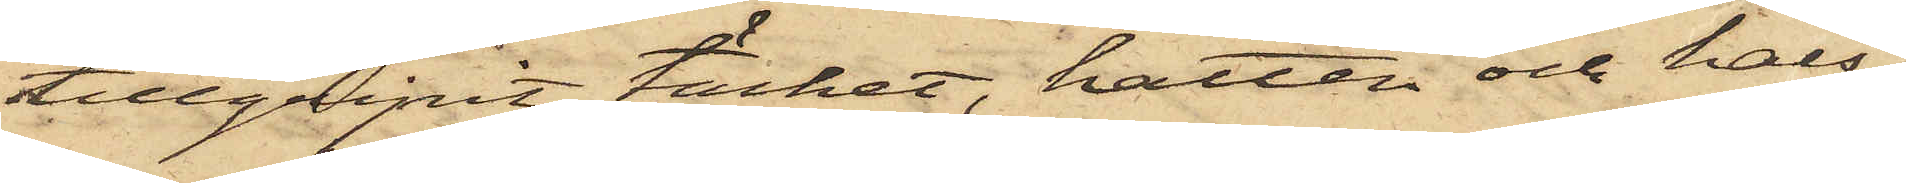tillgripit täcket, hatten och hals¬
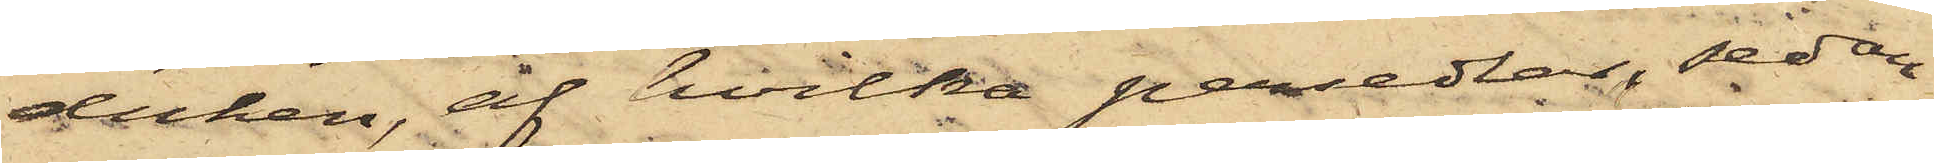duken, af hvilka persedlar, sedan
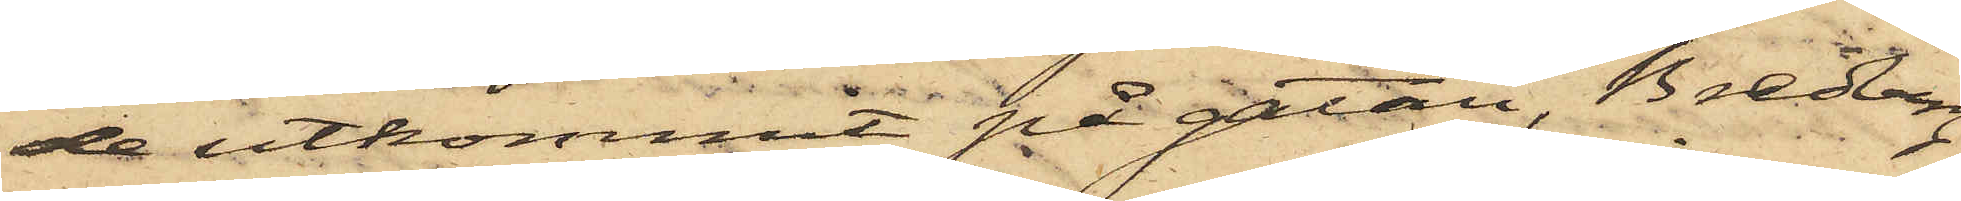de utkommit på gatan, Bredberg
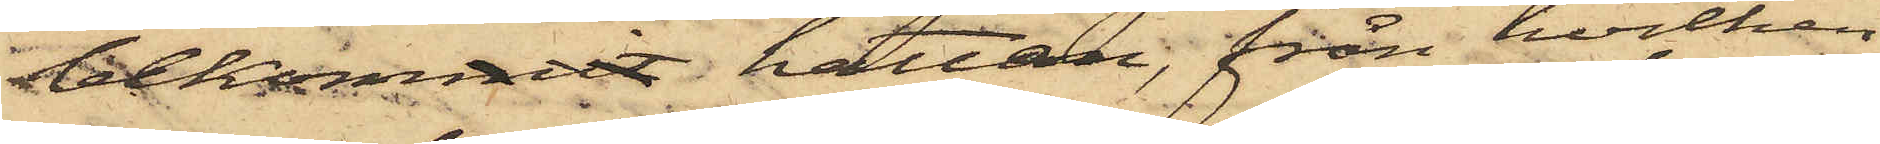bekommit hatten, från hvilken
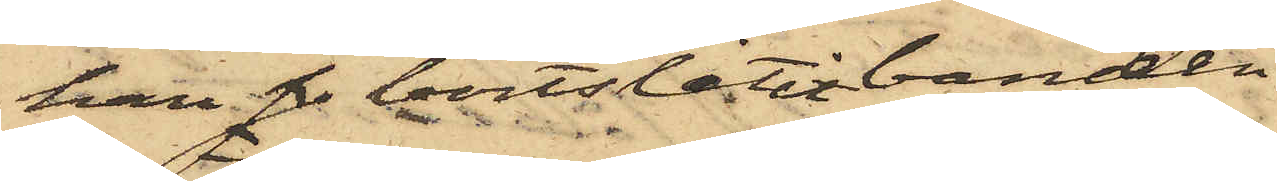han s bortslitit banden
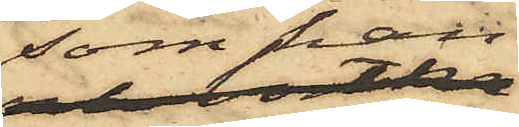som han
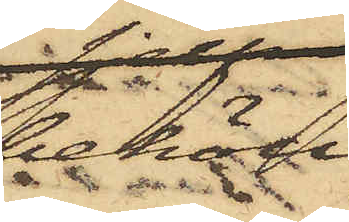behöll,
